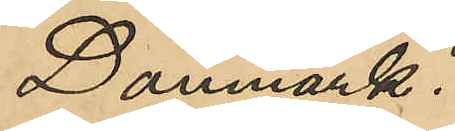Danmark:
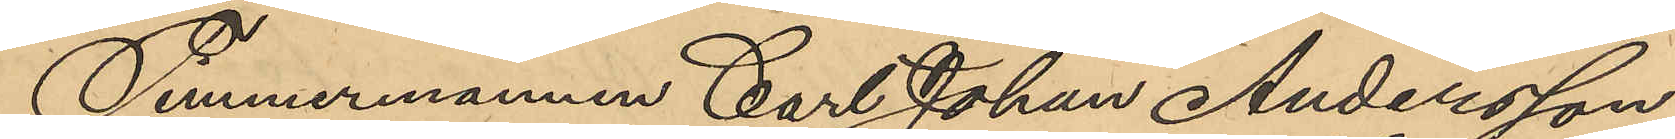Timmermannen Carl Johan Andersson
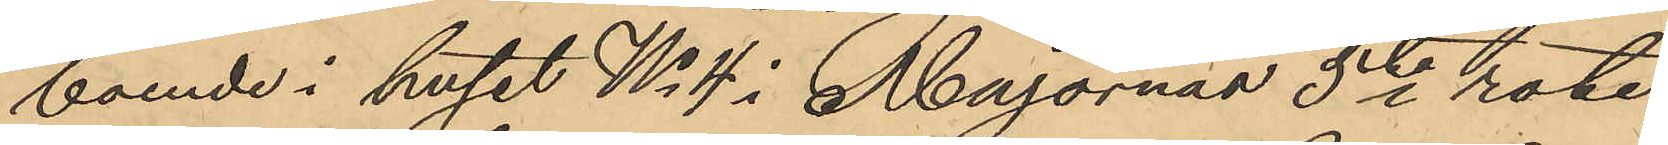boende i huset No 4 i Majornas 5te rote,
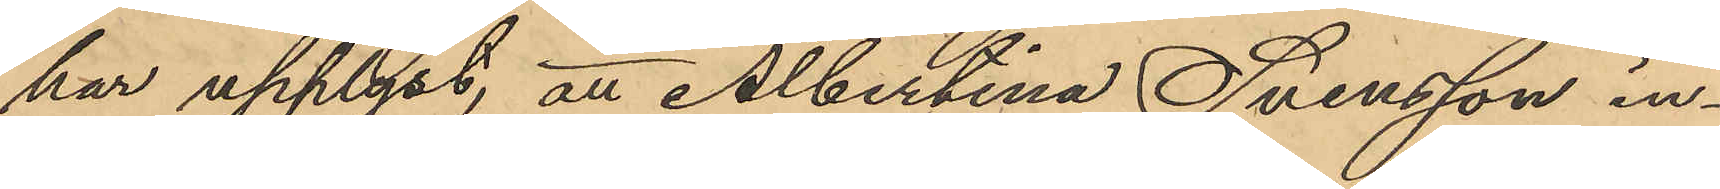har upplyst, att Albertina Svensson in¬
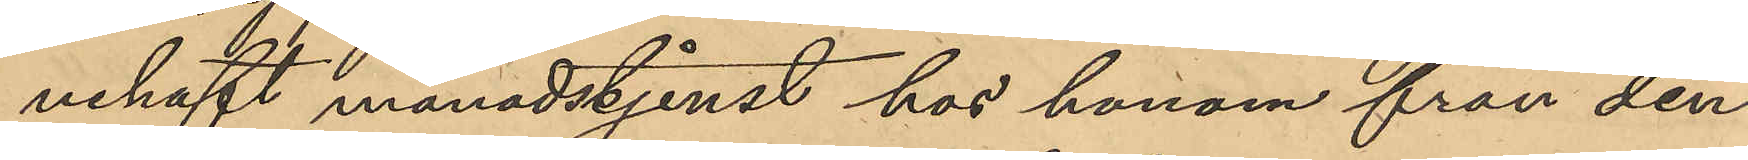nehaft månadstjenst hos honom från den
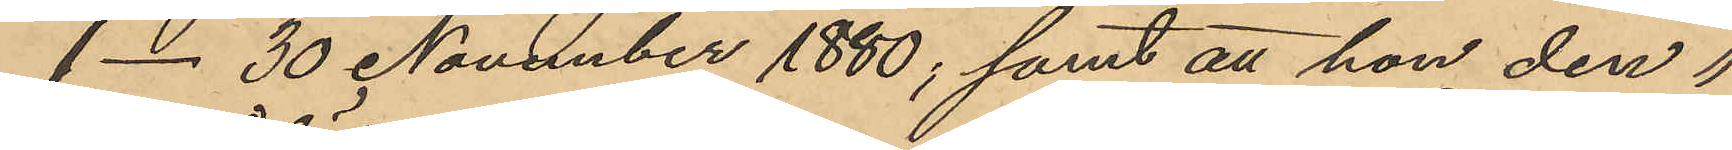1-30 November 1880; samt att hon den 1
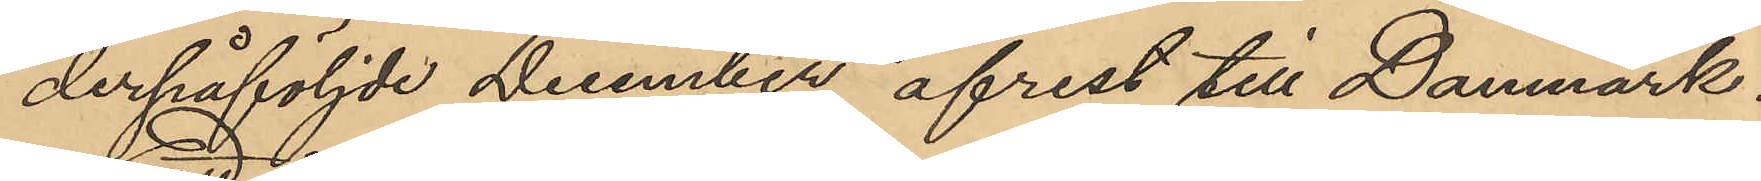derpåföljde December afrest till Danmark,
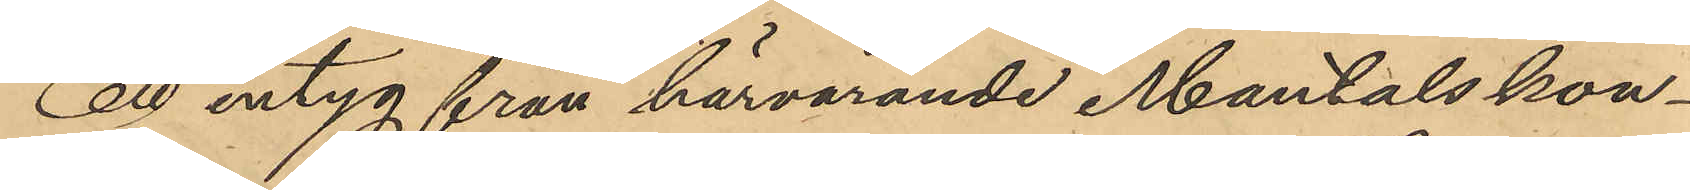att intyg från härvarande Mantals kon¬
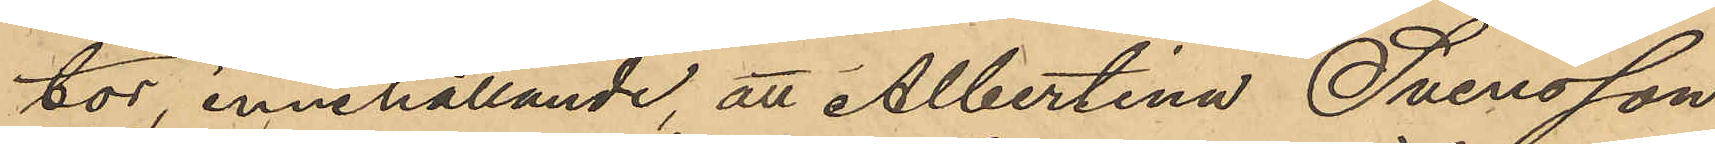tor innehållande att Albertina Svensson
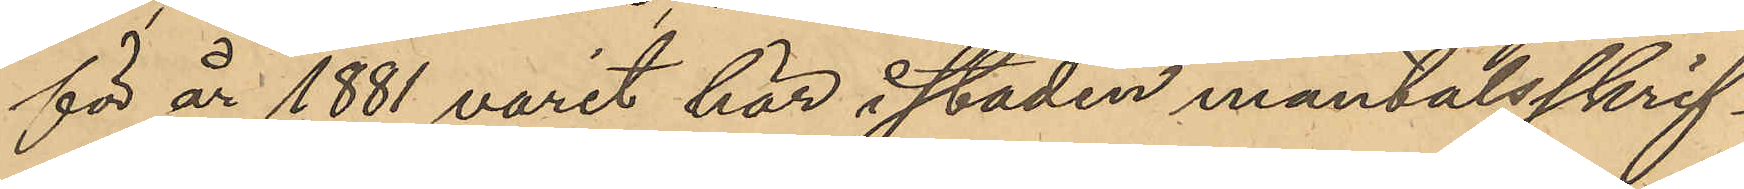för år 1881 varit här i staden mantalsskrif¬
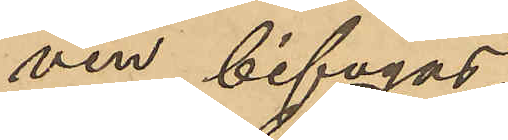ven bifogas.
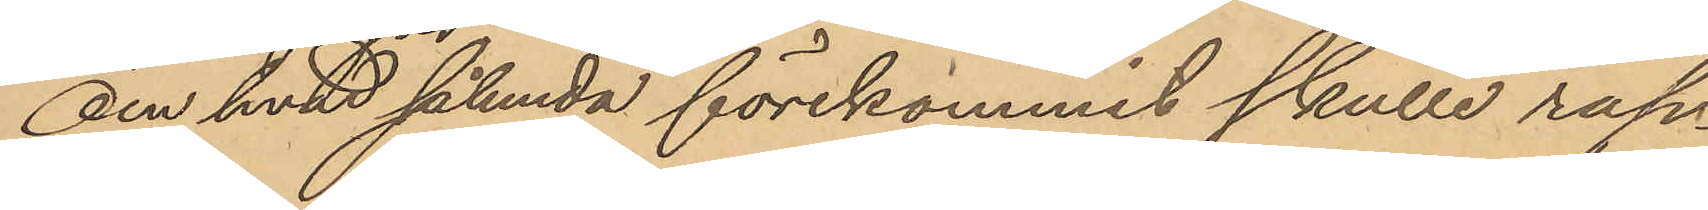Om hvad sålunda förekommit skulle rap¬
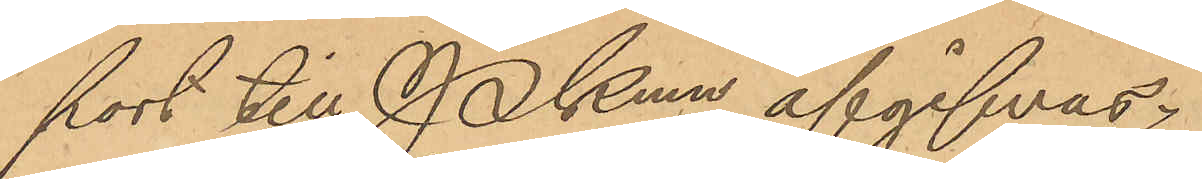port till Pkmn afgifvas.
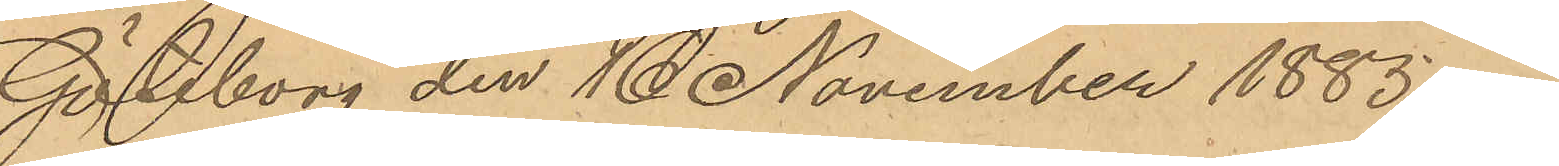Göteborg den 16 November 1885.
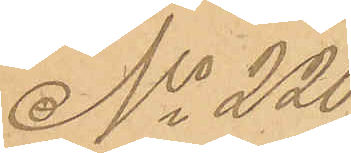No 220
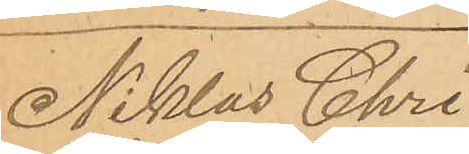Niklas Chri¬
